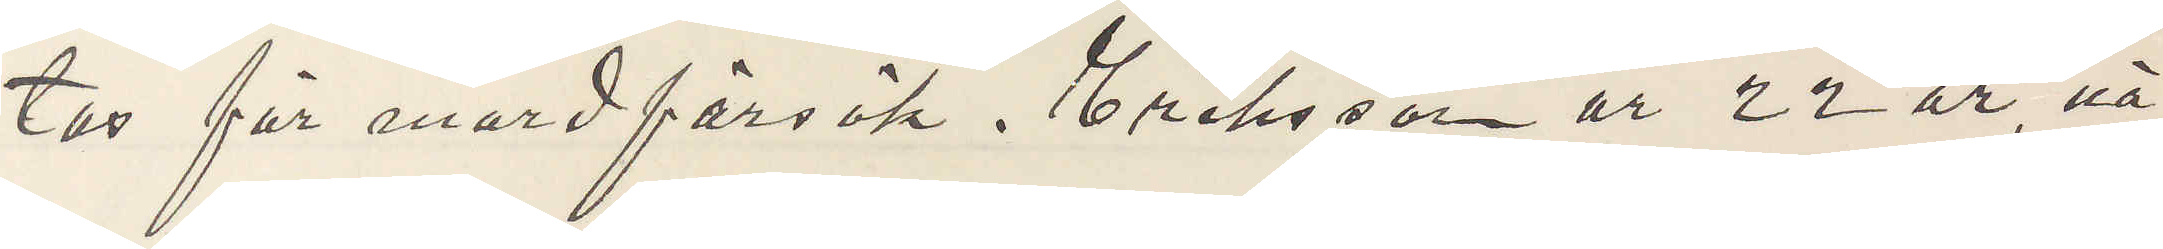tas för mordförsök. Eriksson är 22 år, nä¬
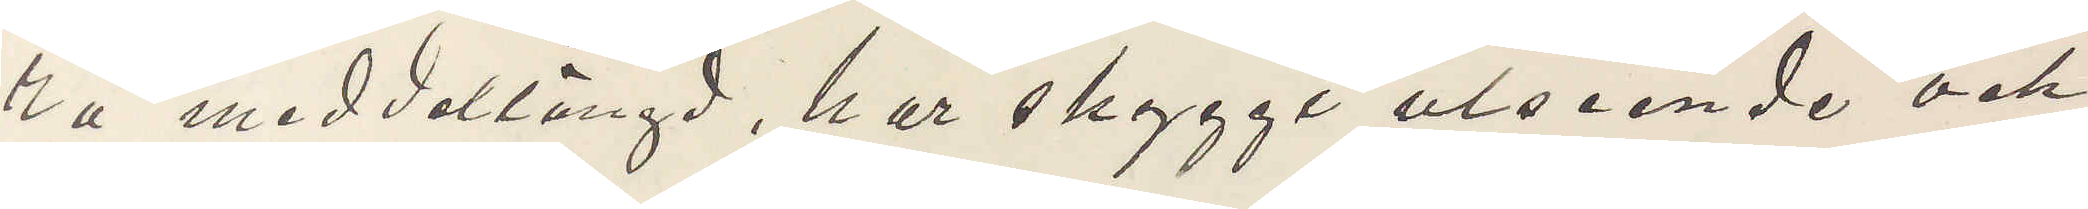ra medellängd, har skyggt utseende och
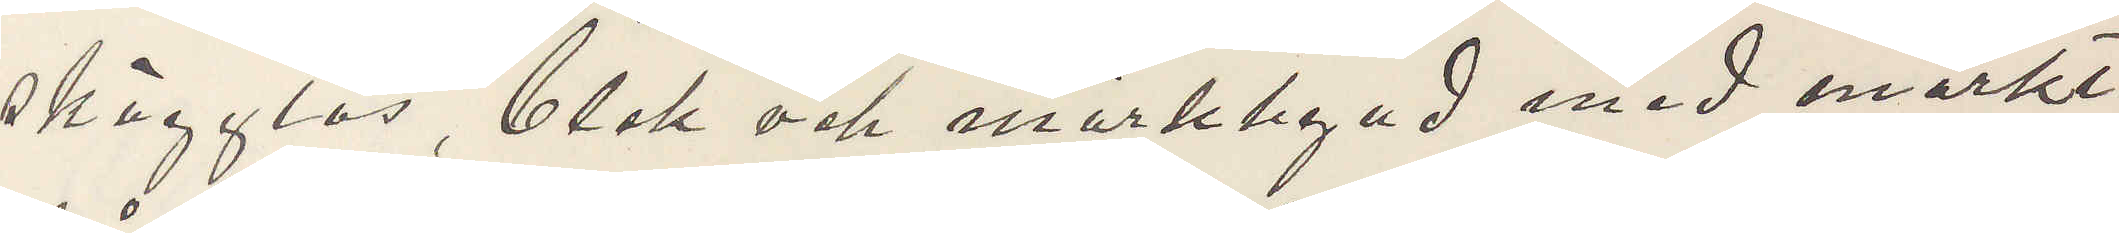skägglös, blek och mörklagd med mörkt
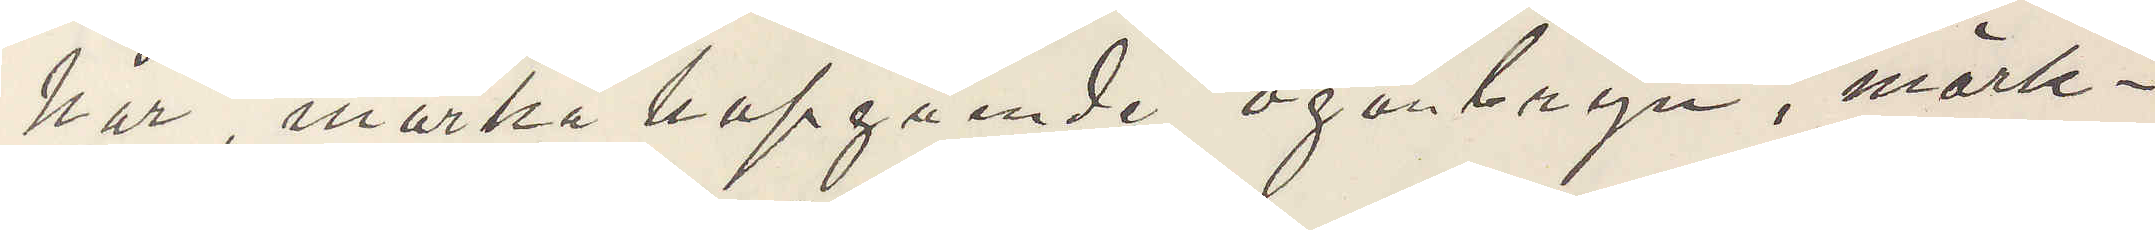hår, mörka hopgående ögonbryn, mörk¬
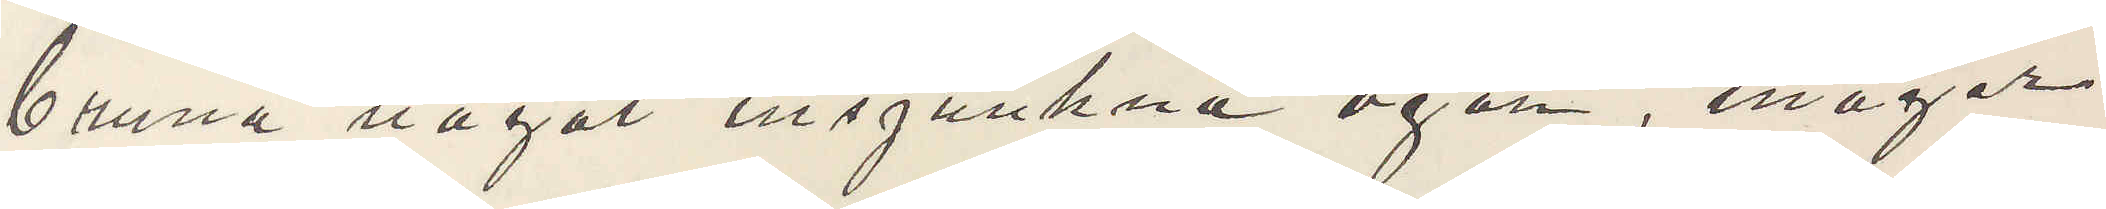bruna något insjunkna ögon, mager
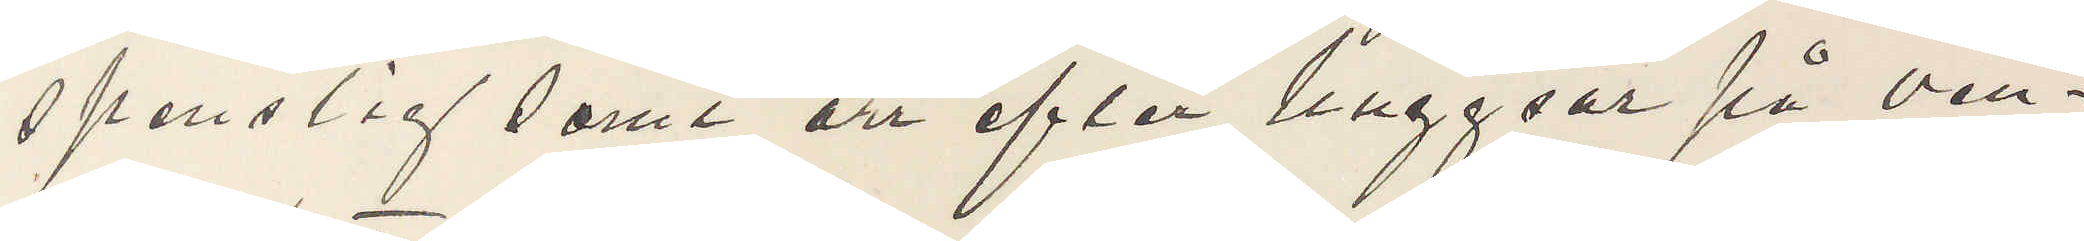spenslig samt ärr efter huggsår på ven¬
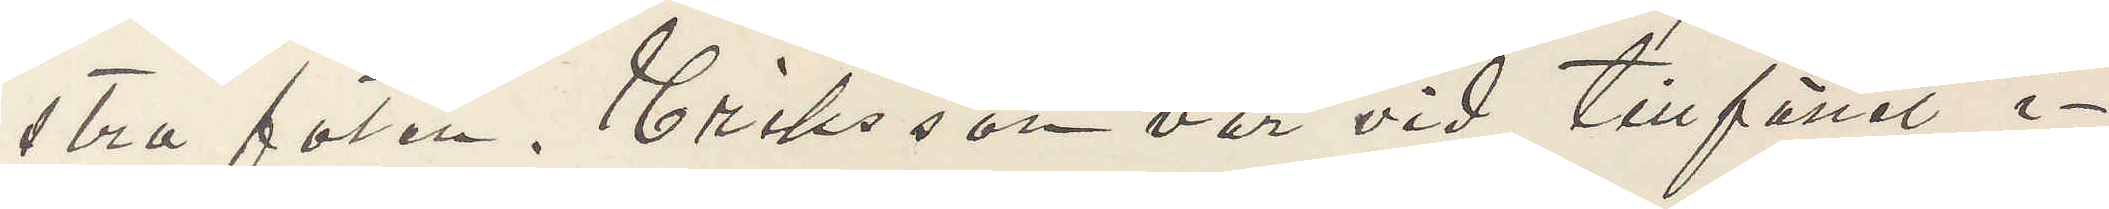stra foten. Eriksson var vid tillfället i¬
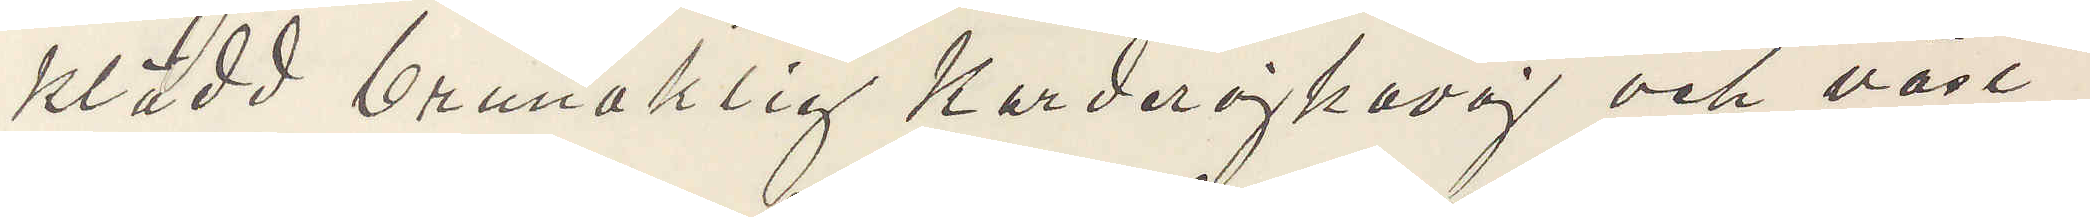klädd brunaktig Korderojkavaj och väst
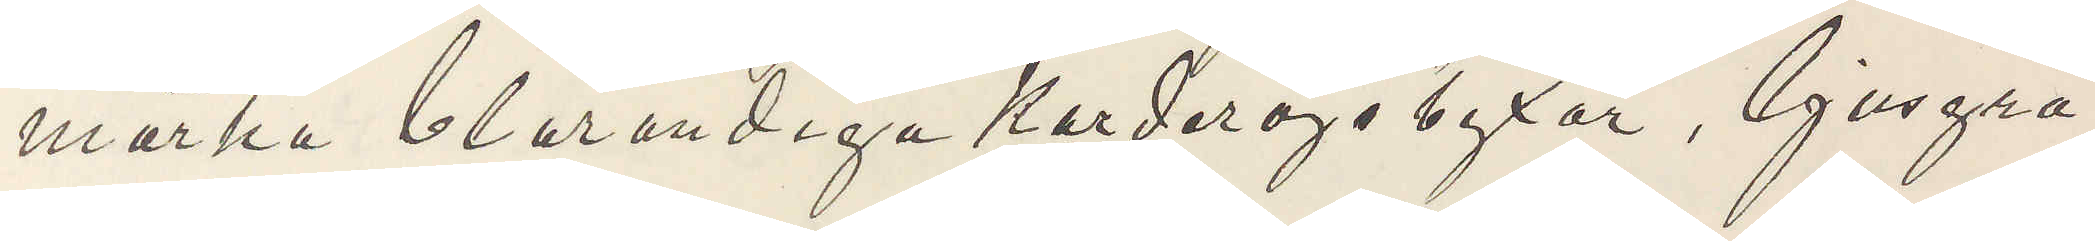mörka blårandiga Korderojbyxor, ljusgrå
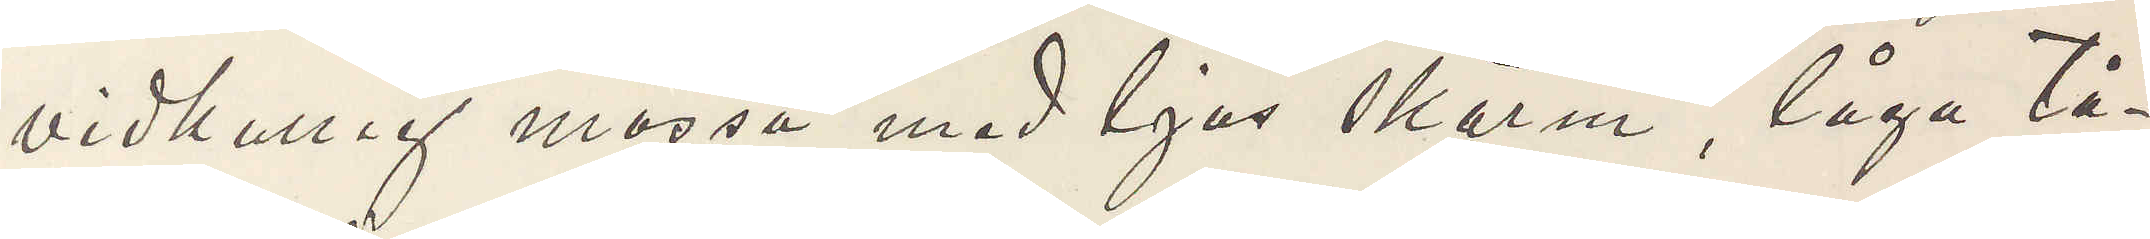vidkullig mössa med ljus skärm, låga tå¬
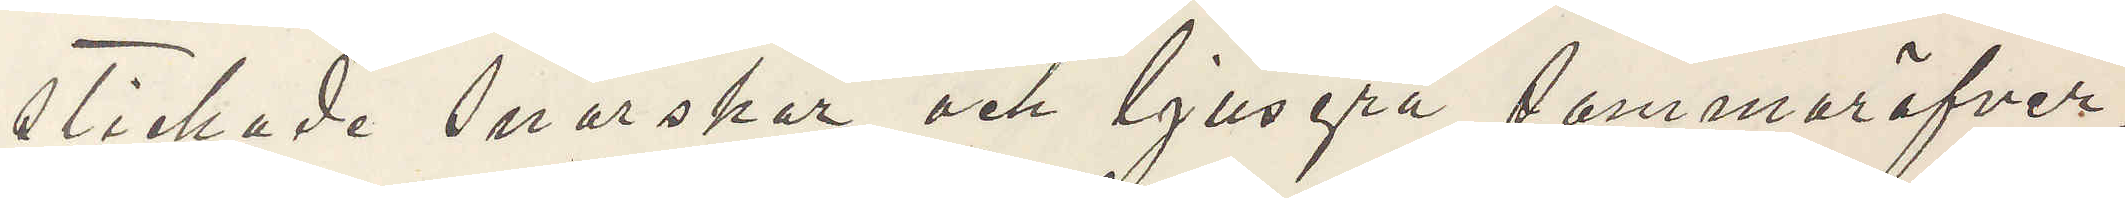stickade snörskor och ljusgrå sommaröfver¬
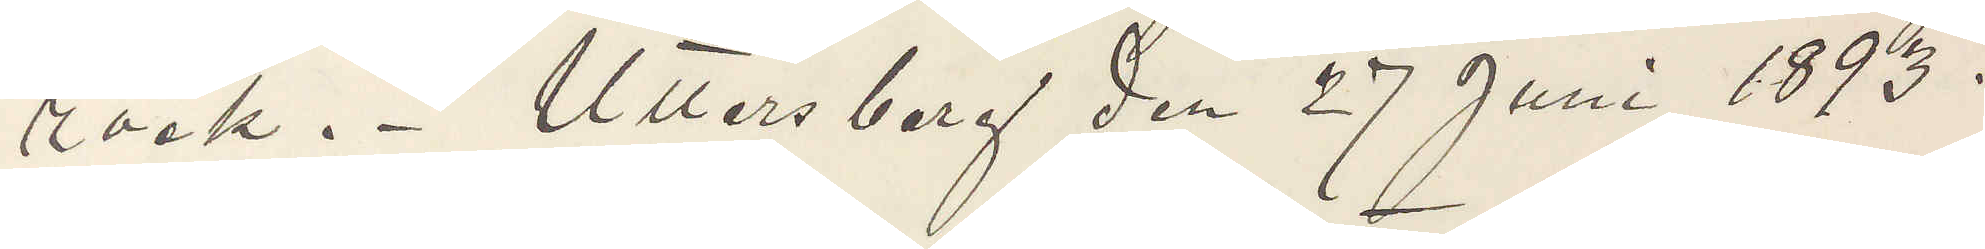rock. Uttersberg den 27 Juni 1893.
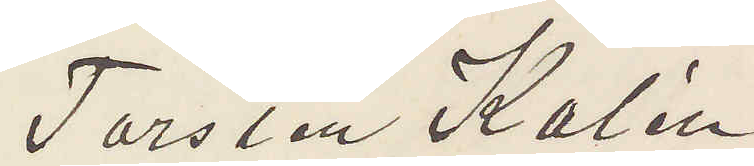Torsten Kalén
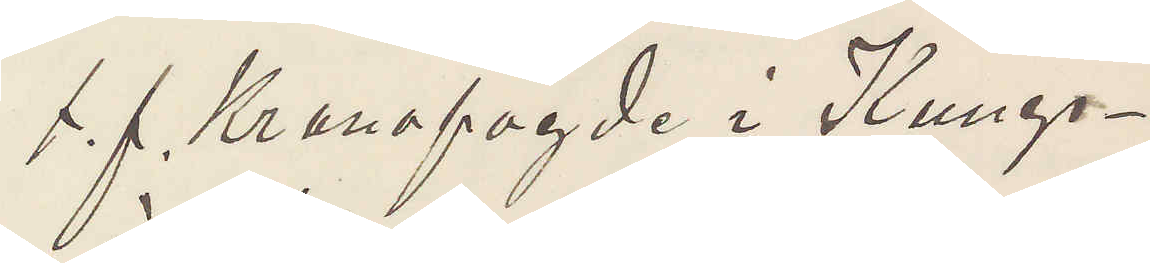t. f. Kronofogde i Kungs¬
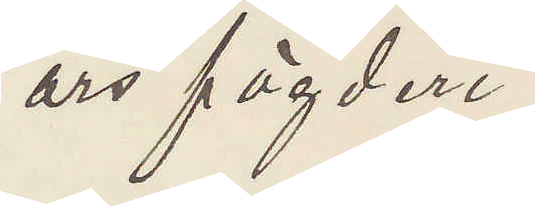örs fögderi.
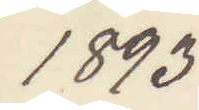1893
